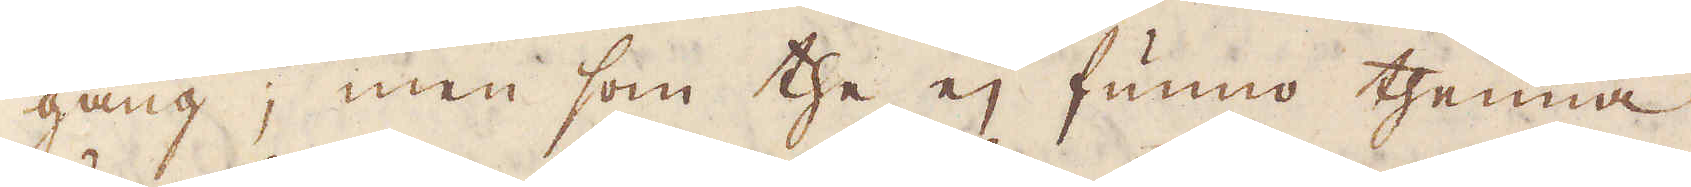gång; men som the ej funno thenna
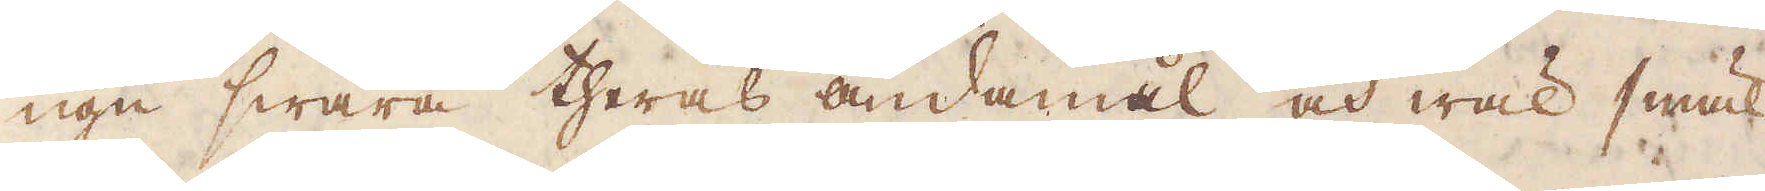ugn swara theras ändamål och wäl smäl-
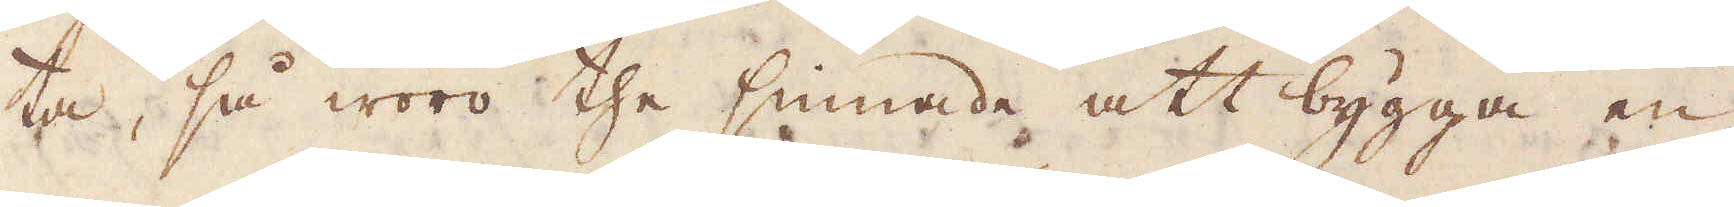ta, så woro the sinnade att bygga en
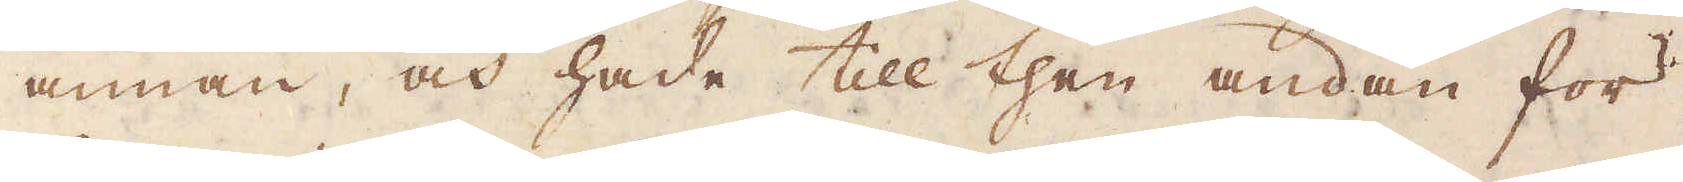annan, och hade till then ändan för-
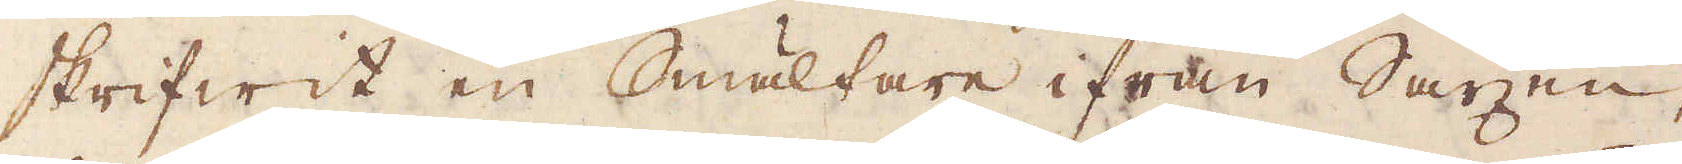skrifwit en Smältare ifrån Saxen,
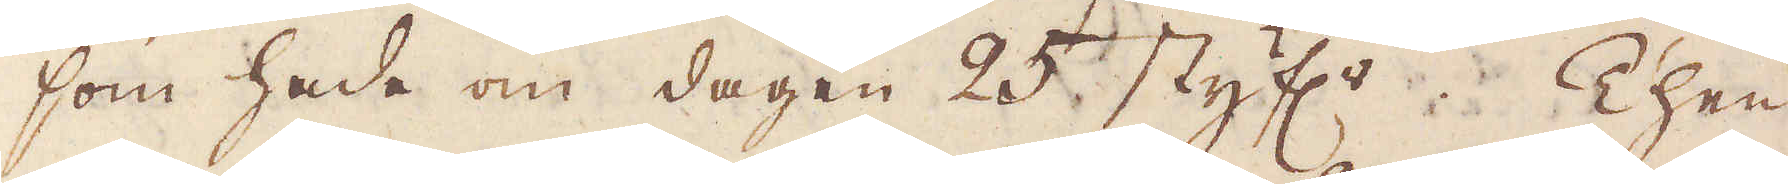som hade om dagen 25 styf:r. Then
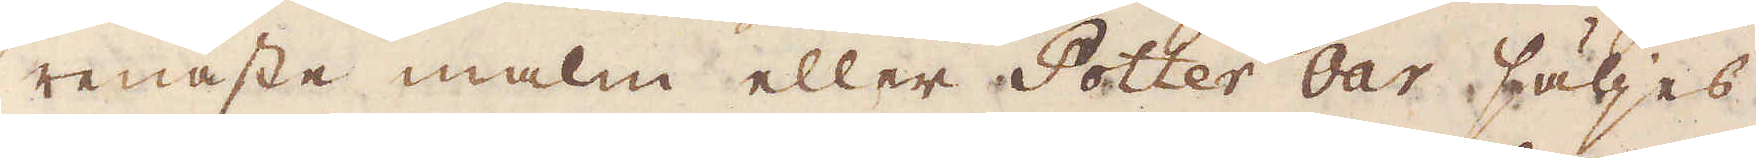renaste malm eller Potter Oar säljes
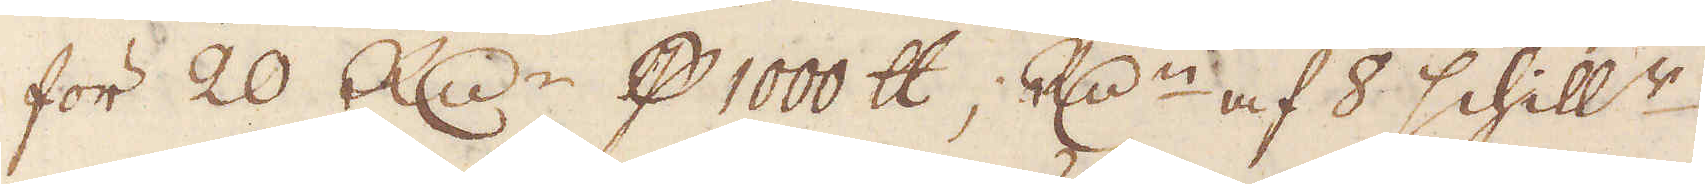för 20 R:dr p 1000 skålpund; R:dn af 8 schill:r;
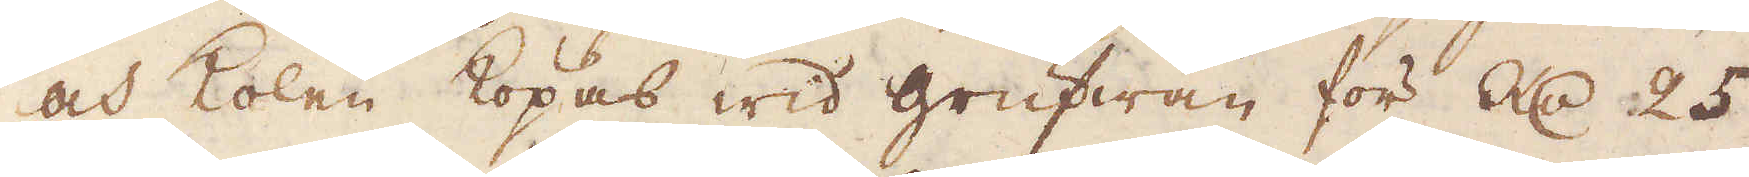och kolen köpas wid grufwan för R:dr 25
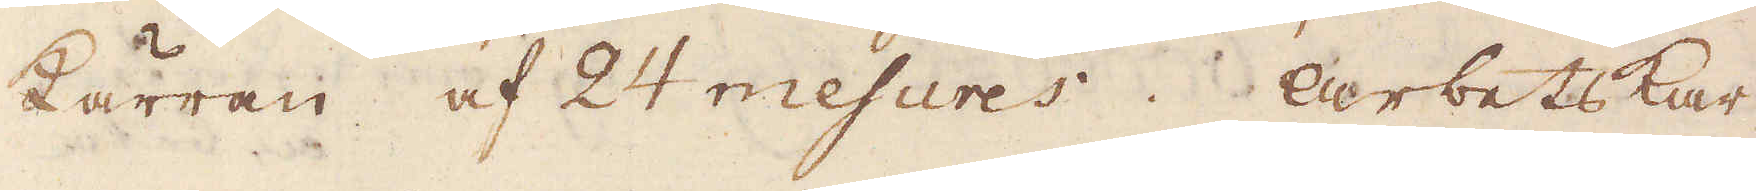kärran af 24 mesures. Arbetskar-
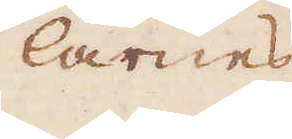larnes
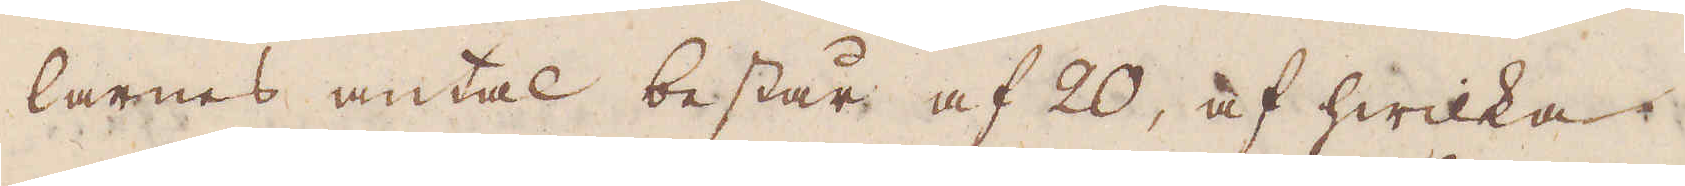larnes antal består af 20, af hwilka
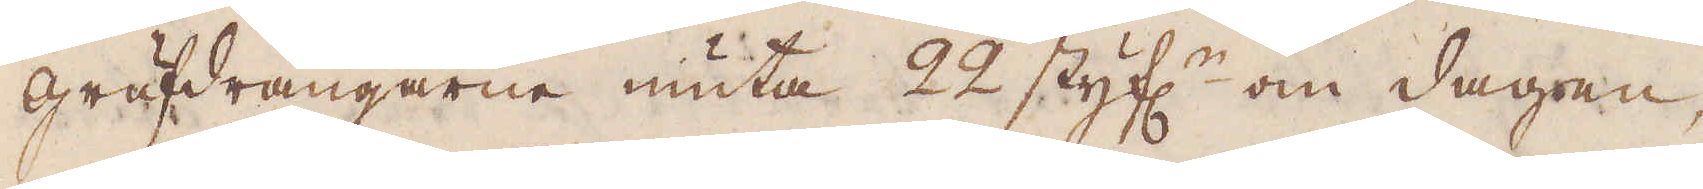grufdrängarna niuta 22 styf:r om dagen,
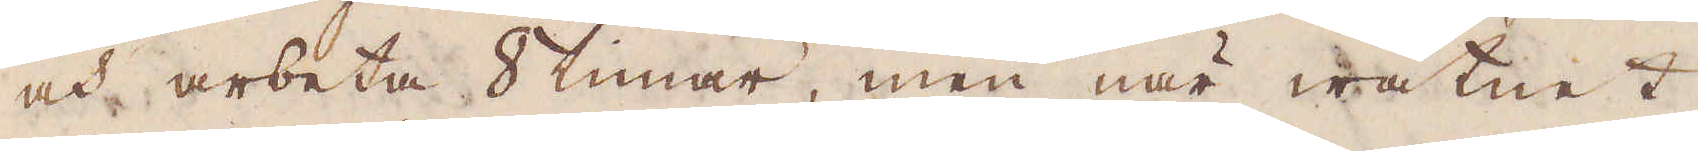och arbeta 8 timar, men när watnet
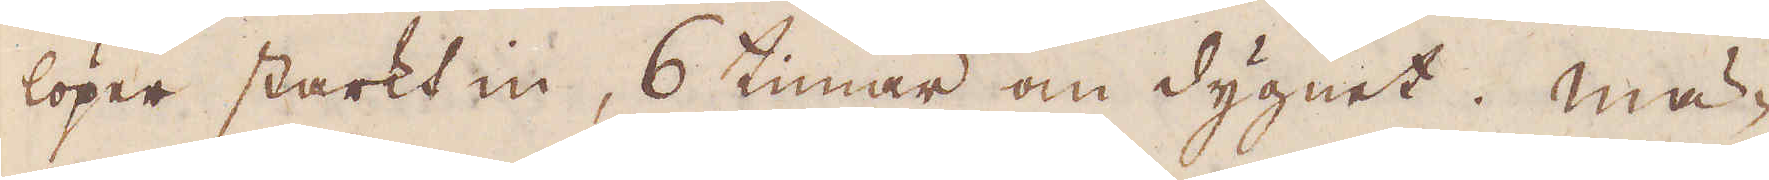löper starkt in, 6 timar om dygnet. Mä-
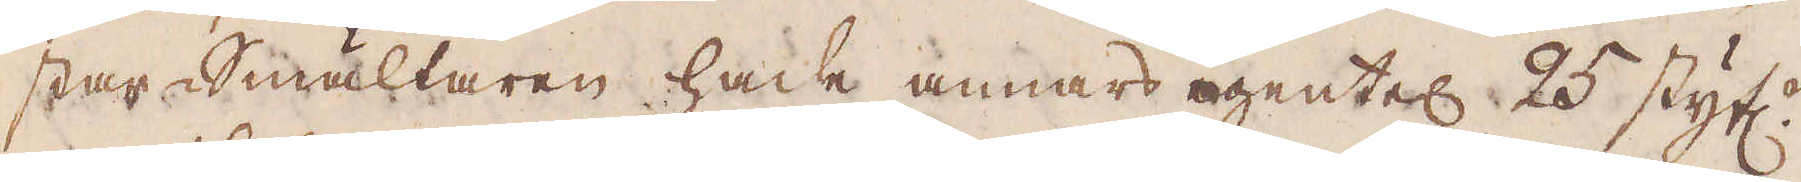star-Smältaren hade annars egentel: 25 styf:r
